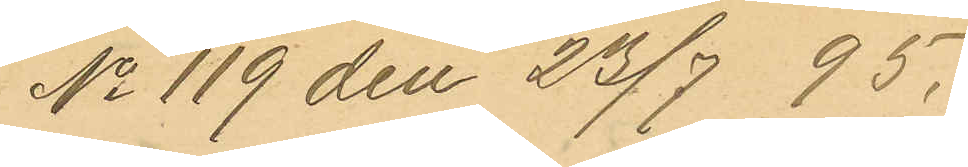No 119 den 23/7 95.
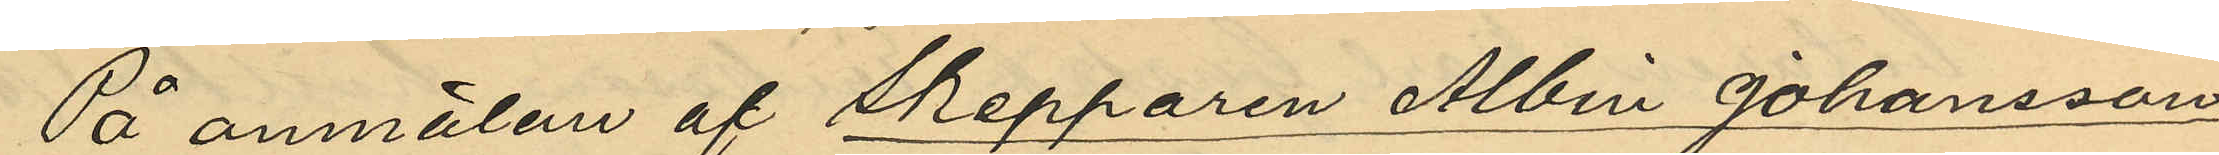På anmälan af Skepparen Albin Johansson
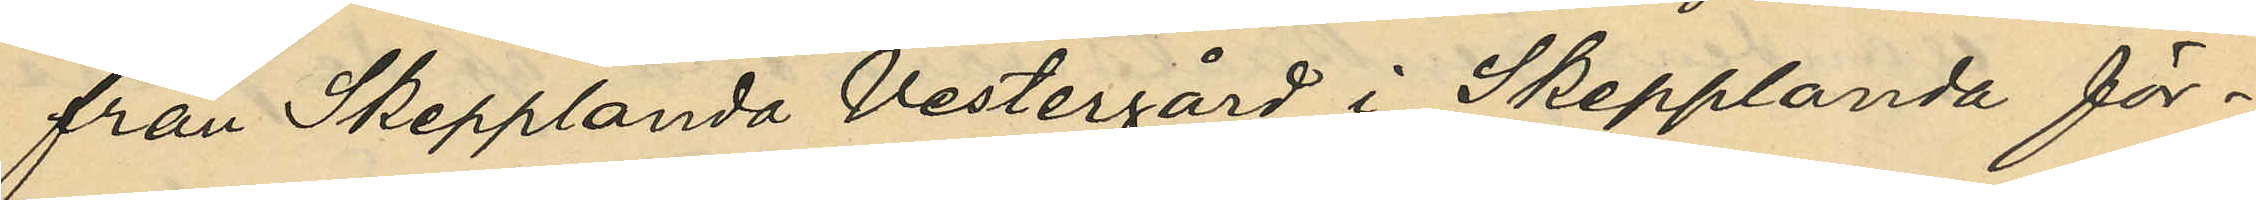från Skepplanda Vestergård i Skepplanda för¬
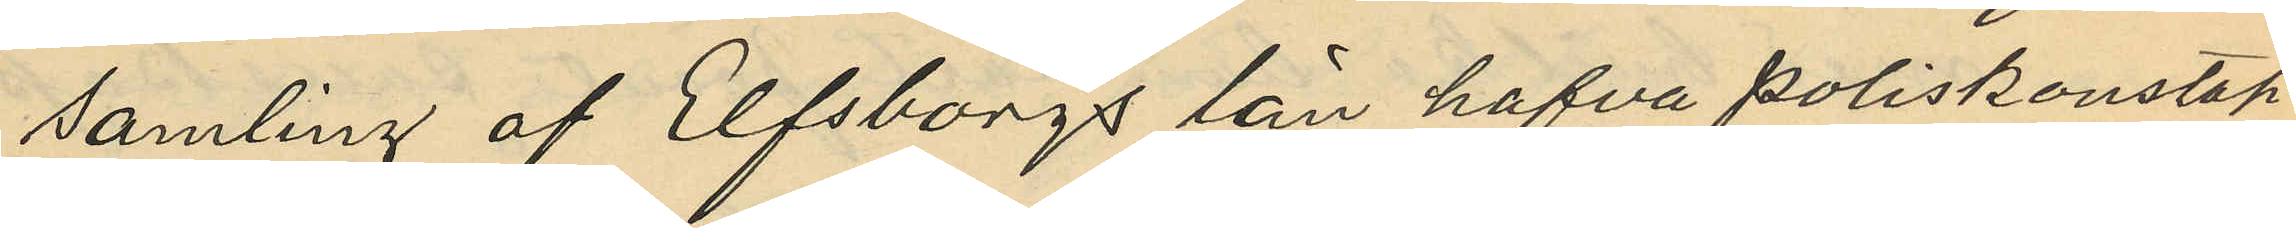samling af Elfsborgs län hafva poliskonstap¬
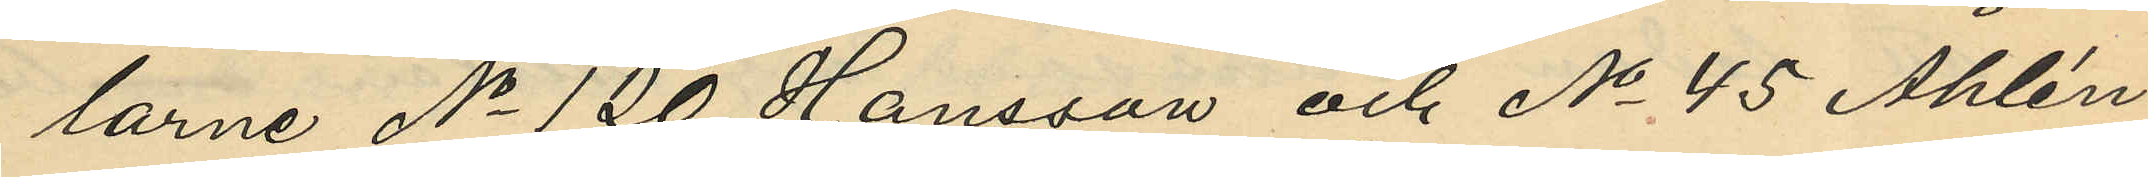larne No 120 Hansson och No 45 Åhlén
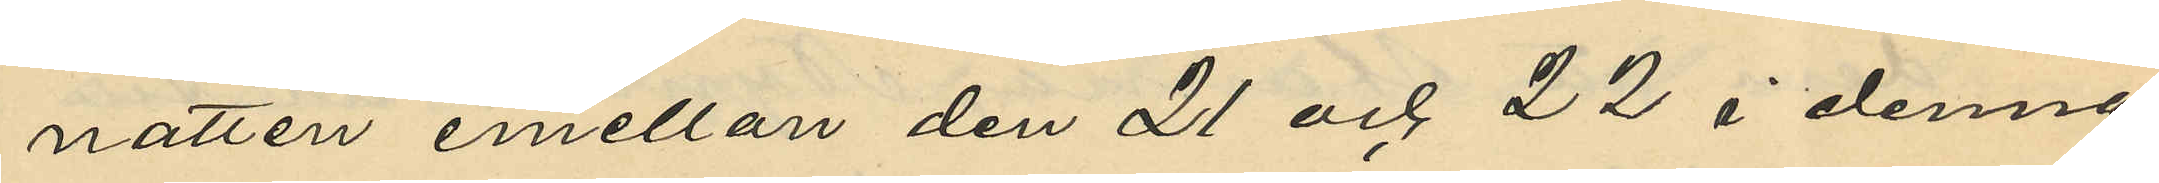natten emellan den 21 och 22 i denna
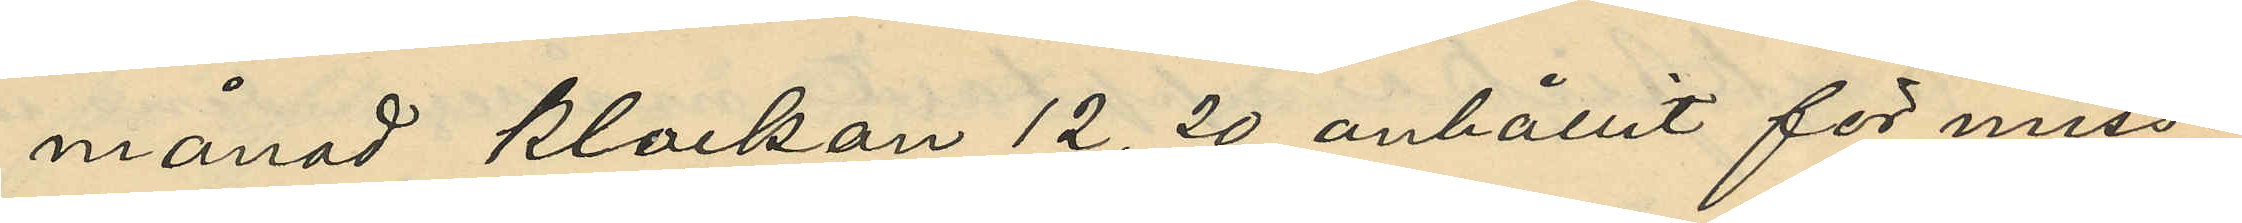månad klockan 12,20 anhållit för miss¬
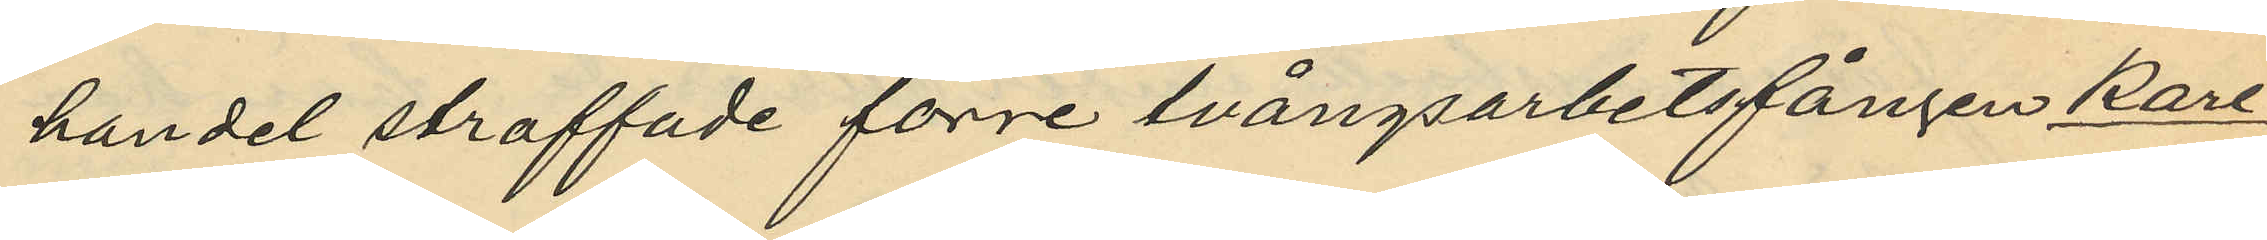handel straffade förre tvångsarbetsfången Karl
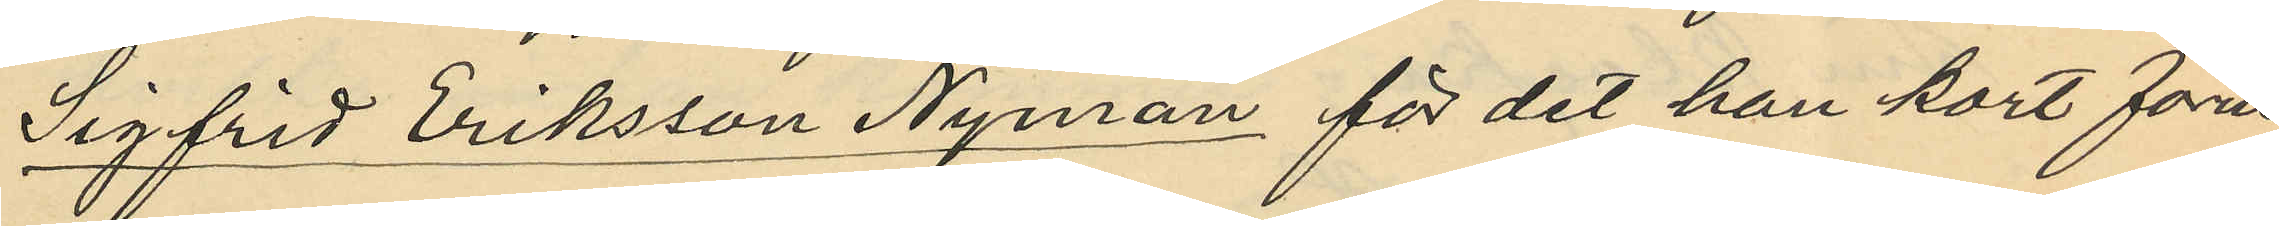Sigfrid Eriksson Nyman för det han kort förut
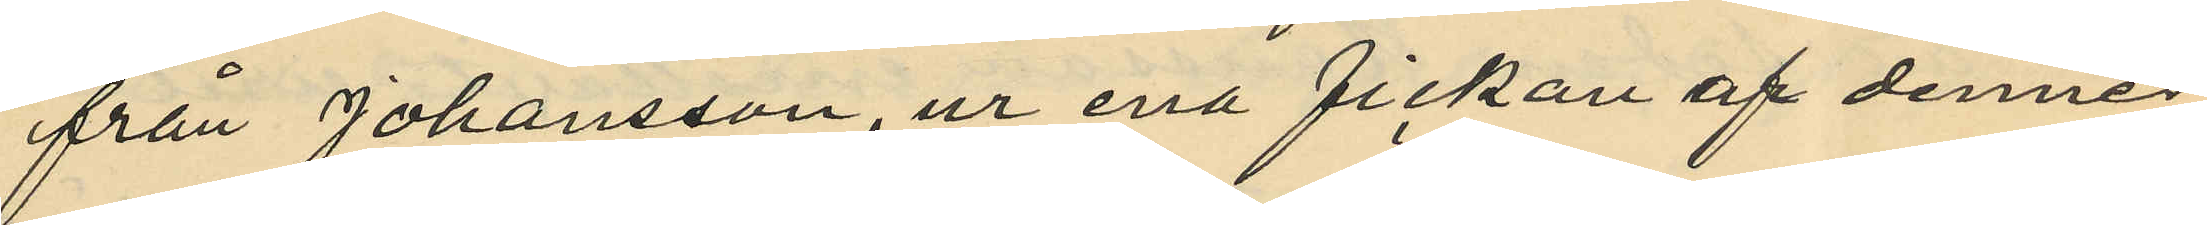från Johansson, ur ena fickan af dennes
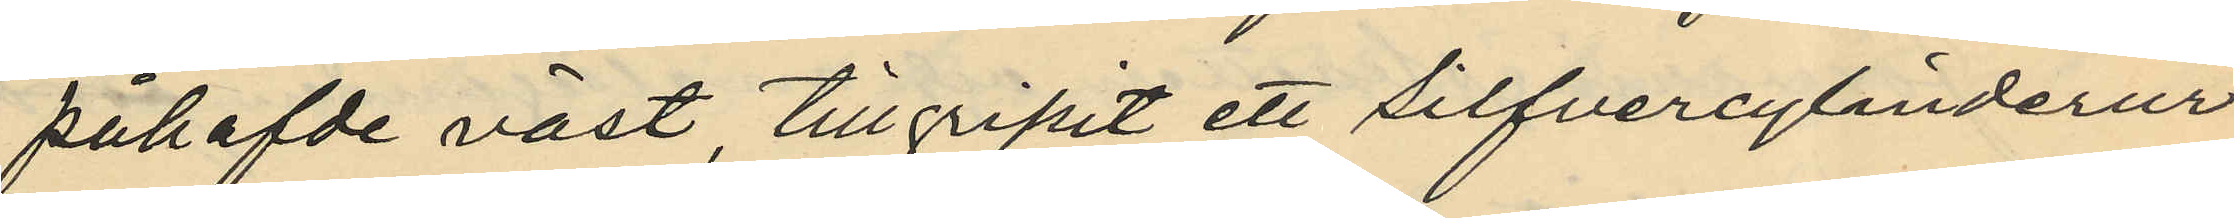påhafvde väst tillgripit ett silfvercylinderur
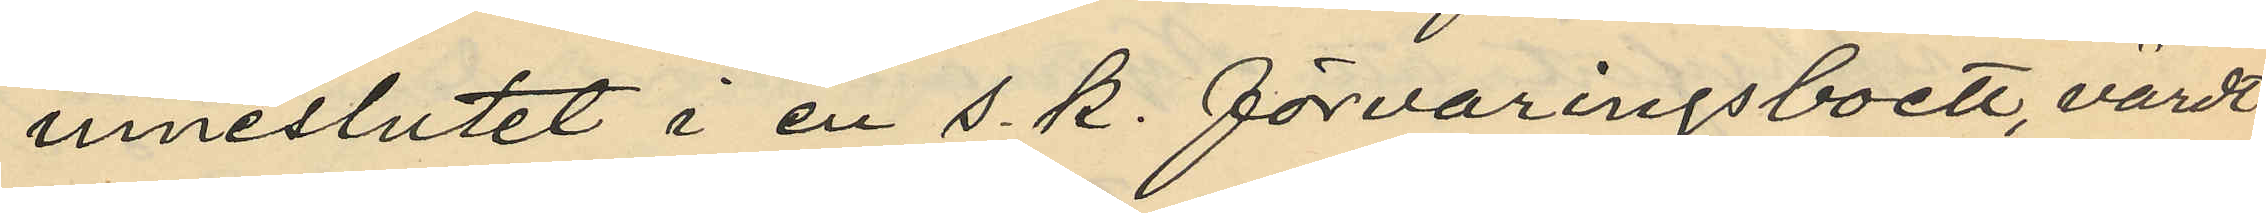inneslutet i en s. k. förvaringsboett, värdt
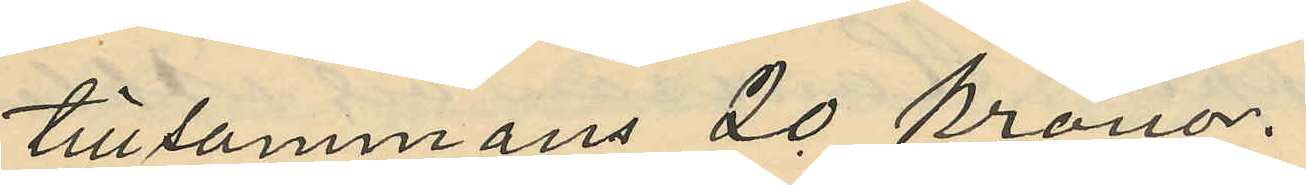tillsammans 20 kronor.
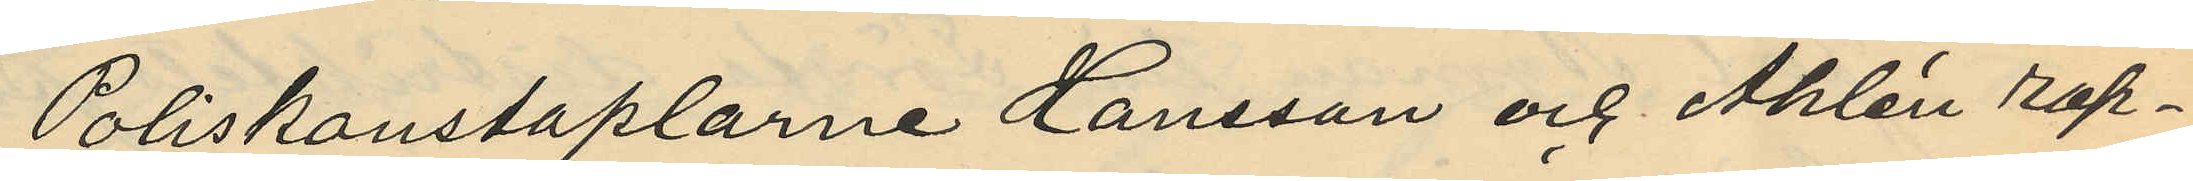Poliskonstaplarne Hansson och Åhlin rap¬
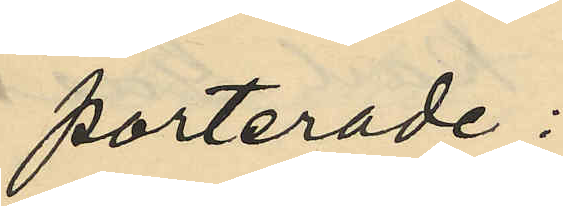porterade;
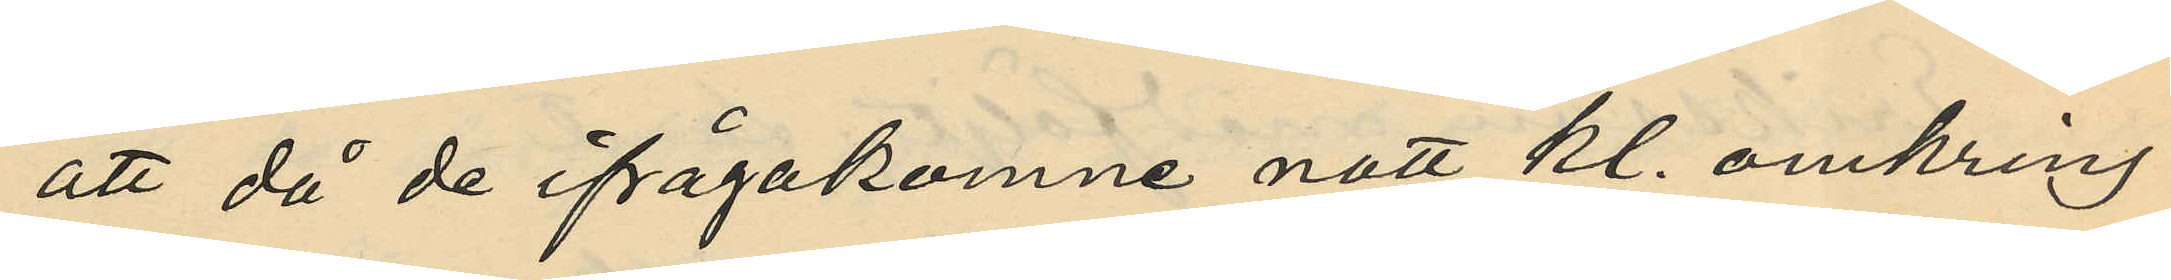att då de ifrågakomne natt kl. omkring
